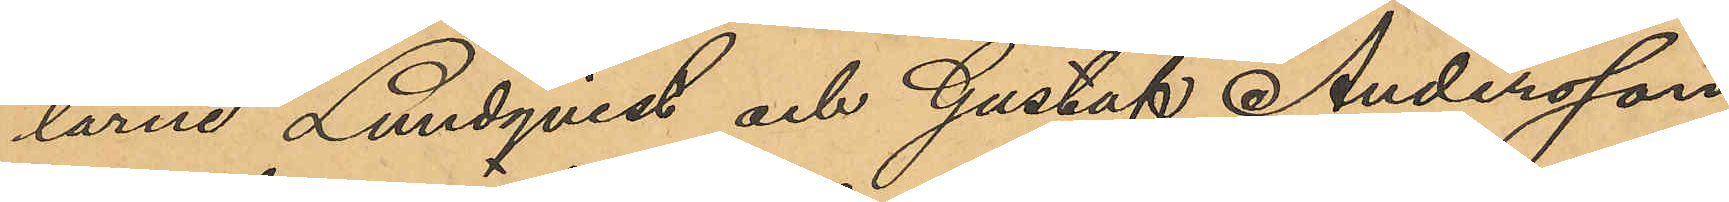larne Lundqvist och Gustaf Andersson
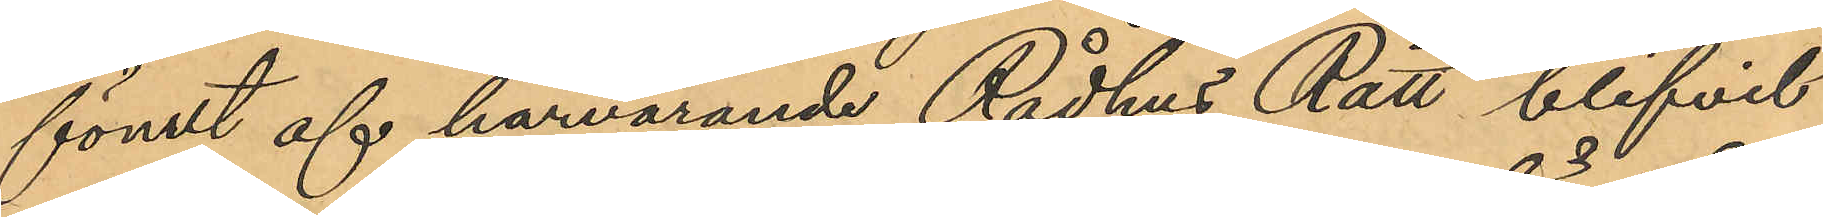förut af härvarande Rådhus Rätt blifvit
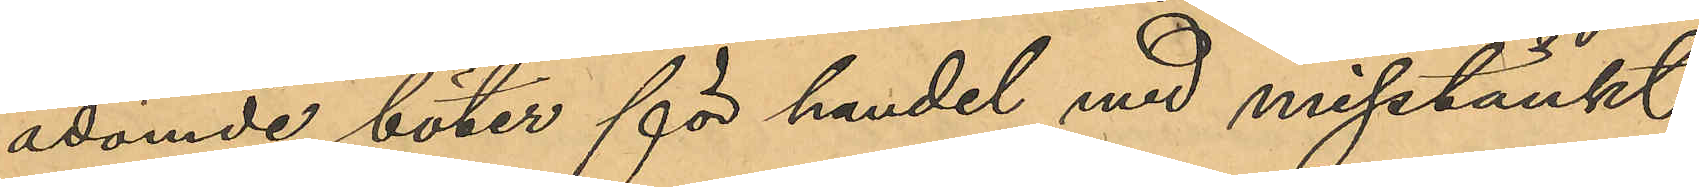ådömde böter för handel med misstänkt
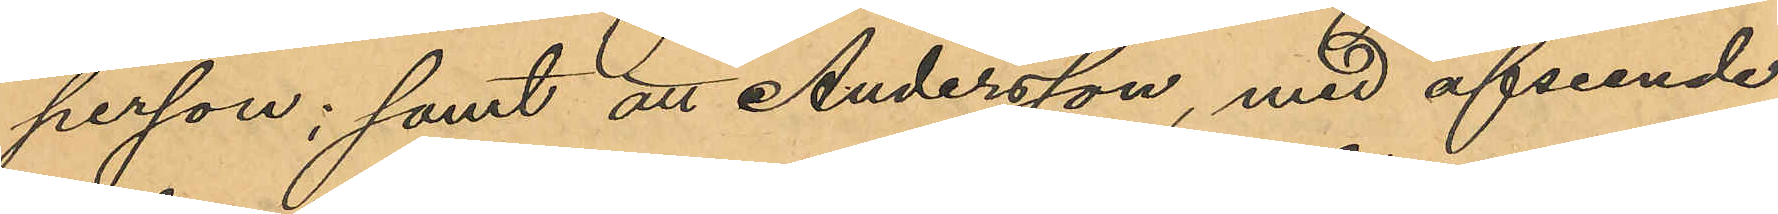person; samt att Andersson, med afseende
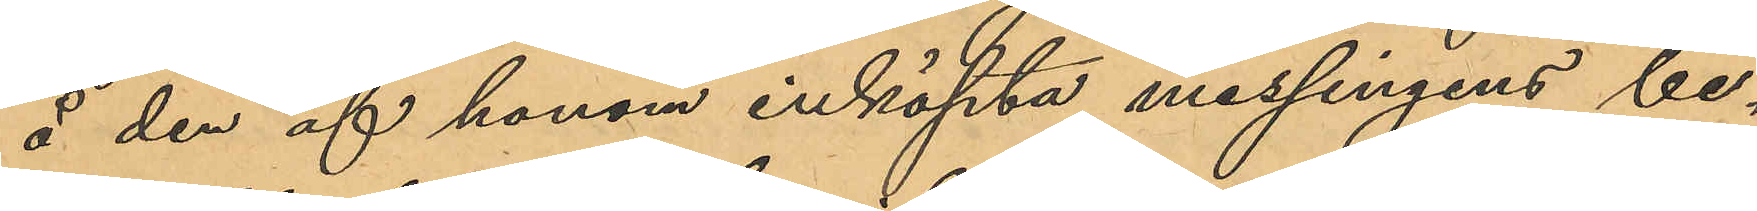å den af honom inköpta messingens be¬
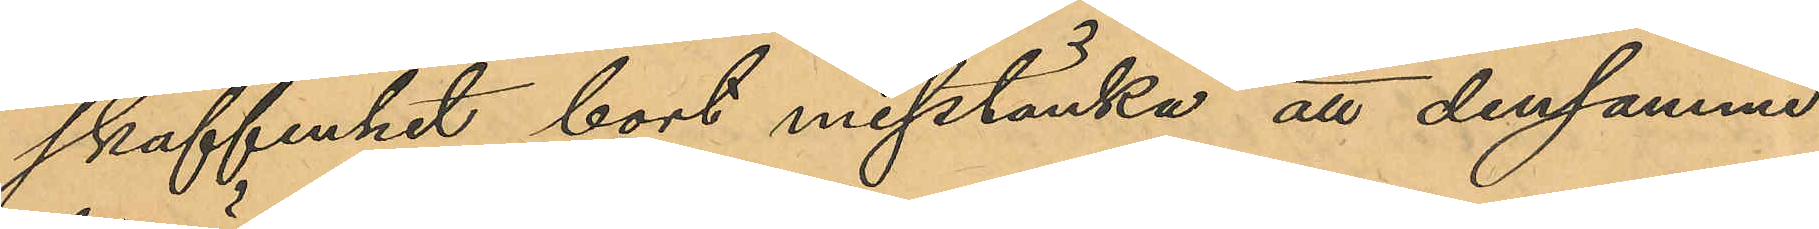skaffenhet bort misstänka, att densamma
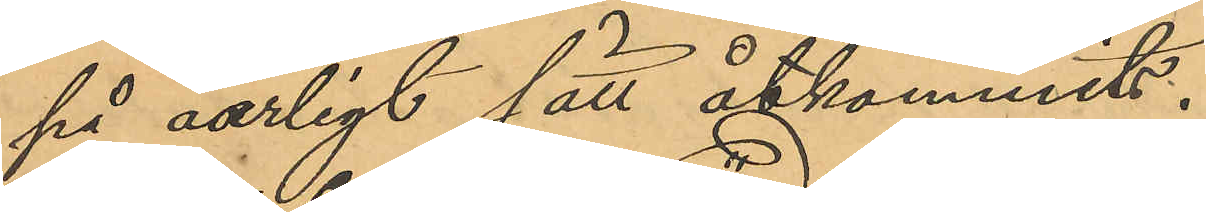på oärligt sätt åtkommits.
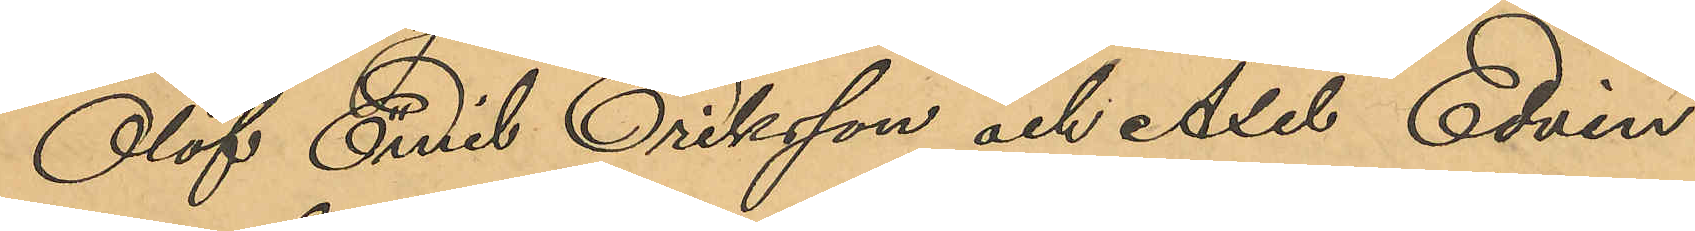Olof Emil Eriksson och Axel Edvin
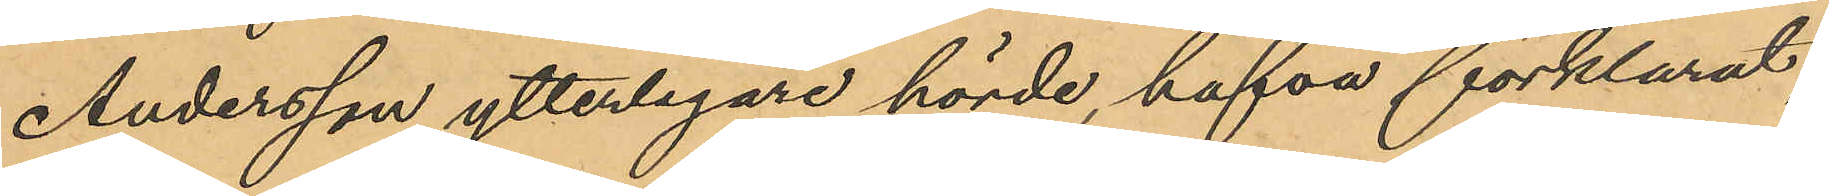Andersson ytterligare hörde, hafva förklarat,
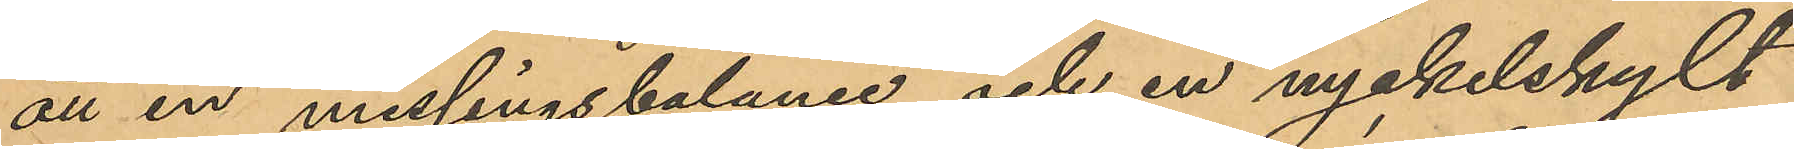att en messingsbalance och en nyckelskylt
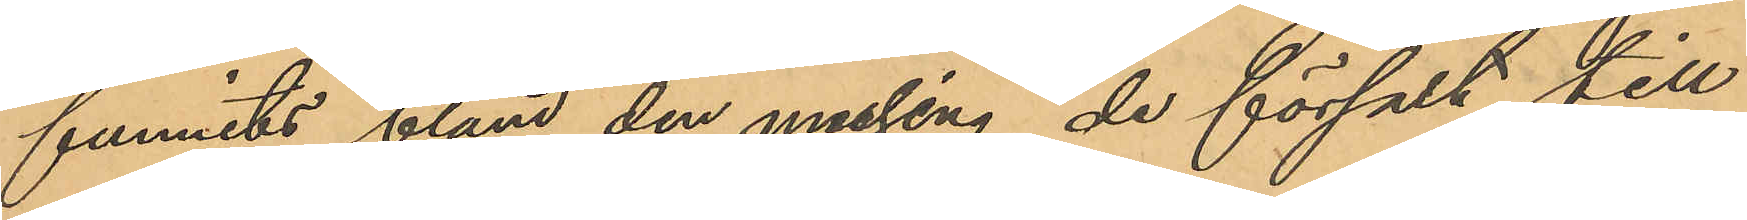funnits bland den messing de försålt till
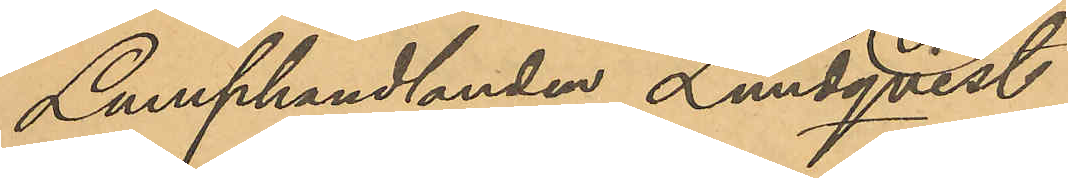Lumphandlanden Lundqvist.
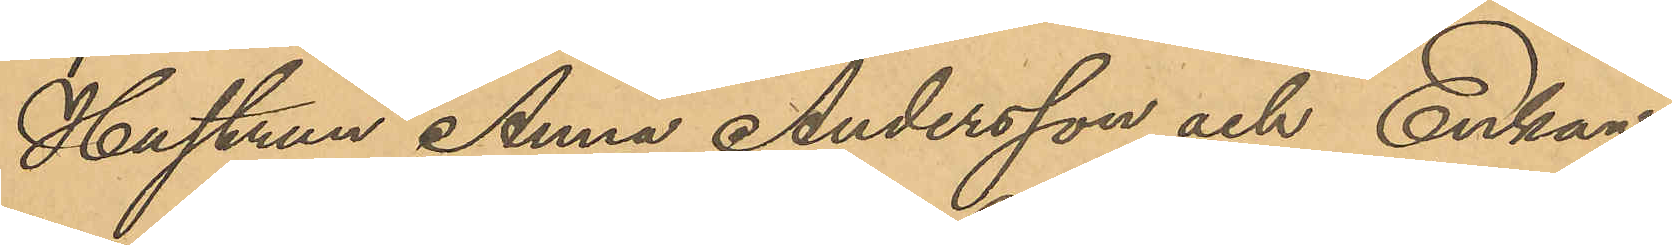Hustrun Anna Andersson och Enkan
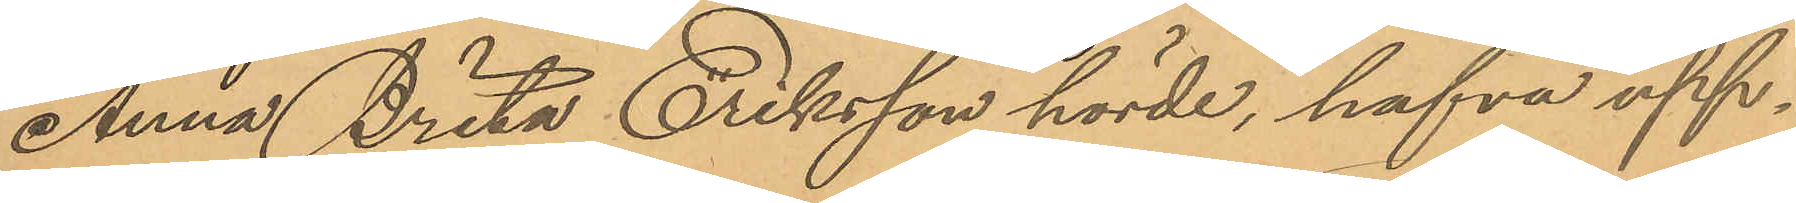Anna Brita Eriksson hörde, hafva upp¬
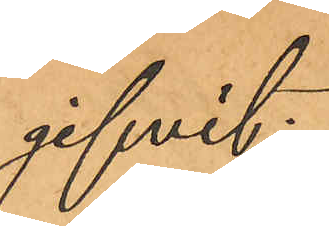gifvit:
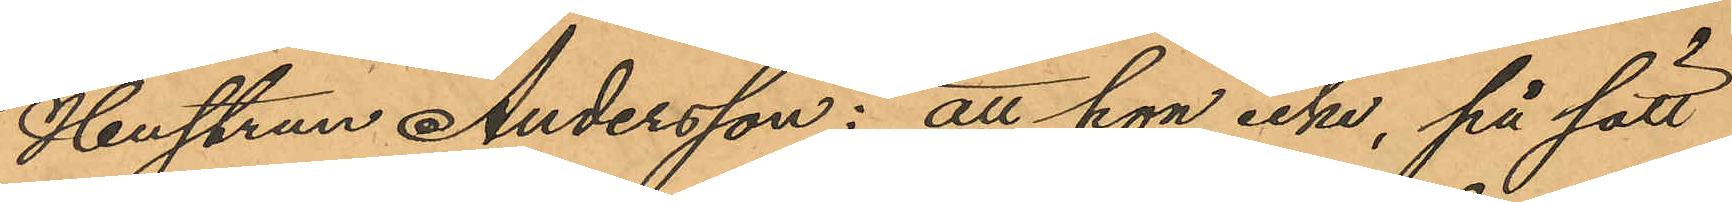Hustrun Andersson: att hon icke, på sätt
